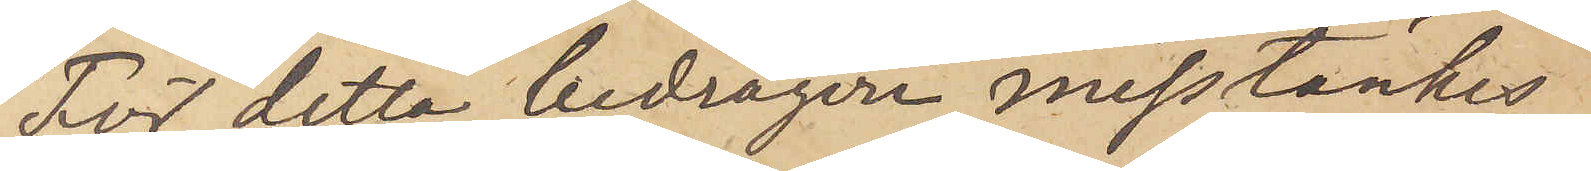För detta bedrägeri misstänkes
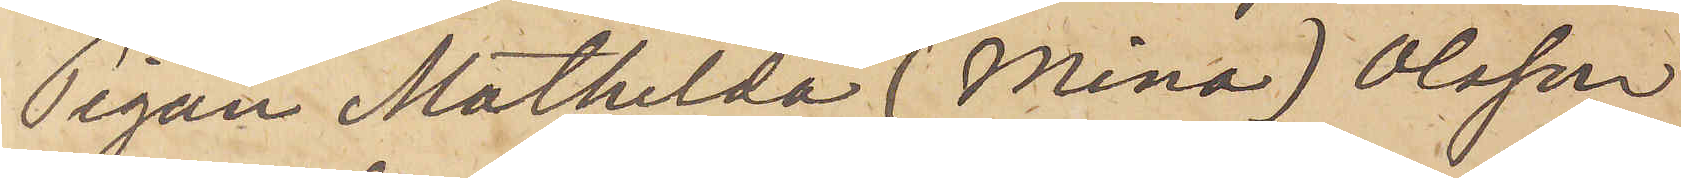Pigan Mathilda (Mina) Olsson
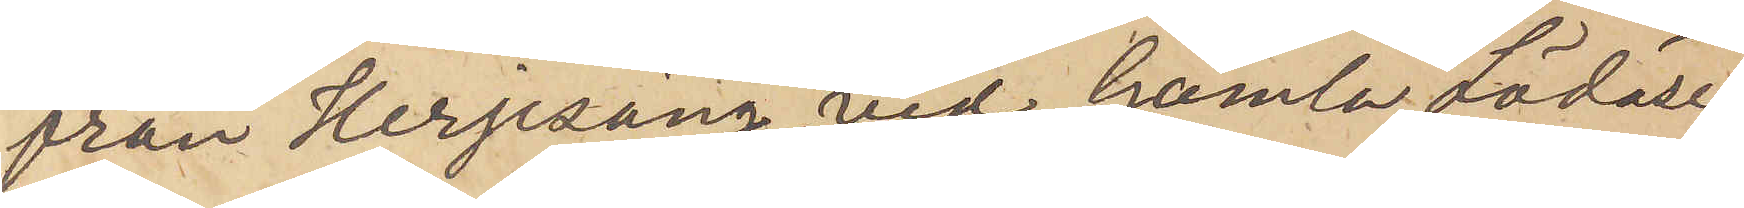från Herjesäng vid Gamla Lödöse,
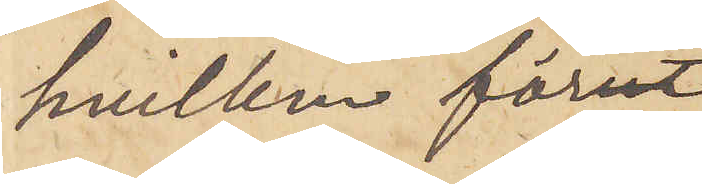hvilken förut
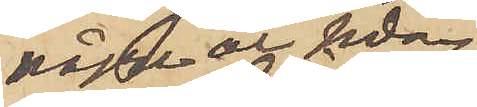några år sedan
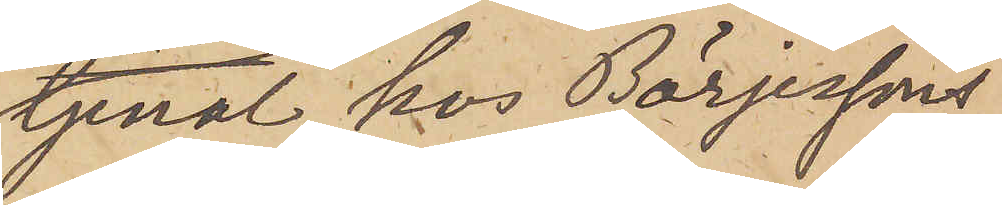tjenat hos Börjessons
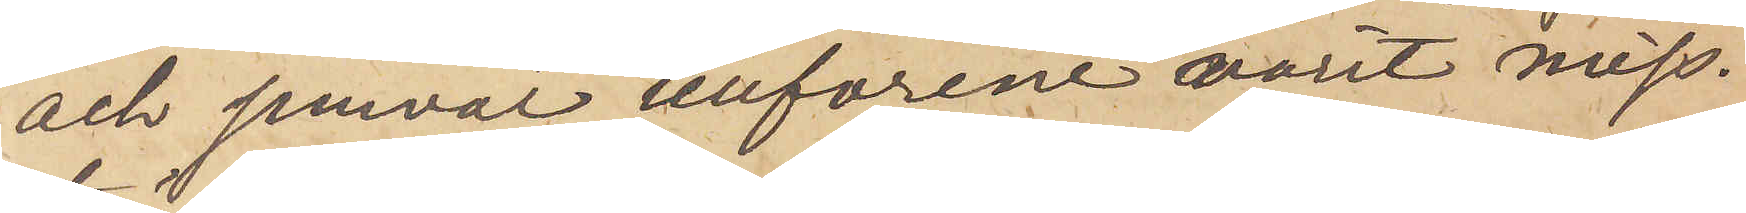och jemväl tillförene varit miss¬
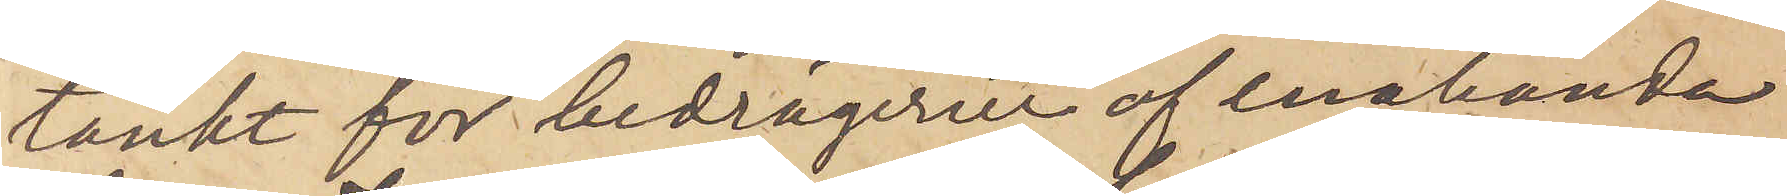tänkt för bedrägerier af enahanda
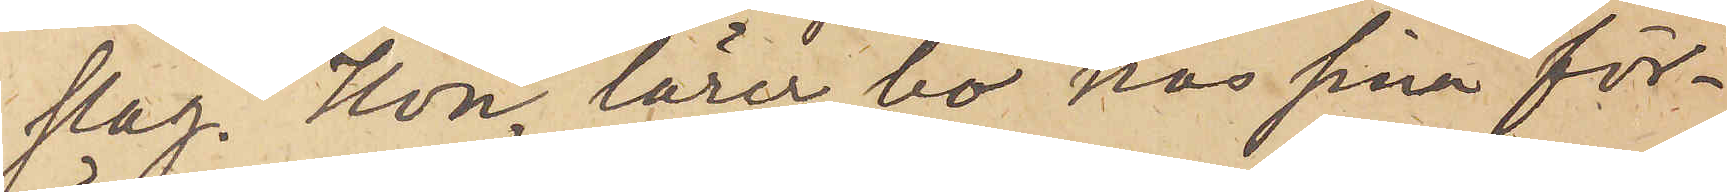slag. Hon lärer bo hos sina för¬
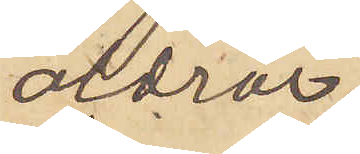äldrar,
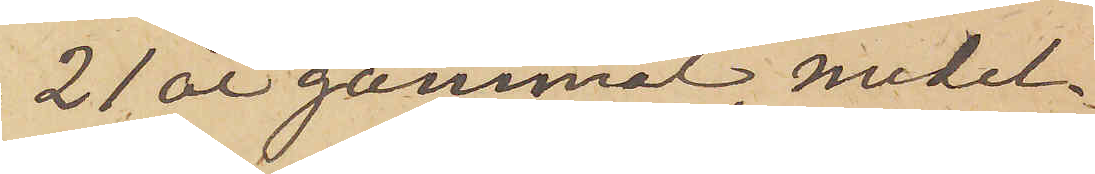21 år gammal, medel¬
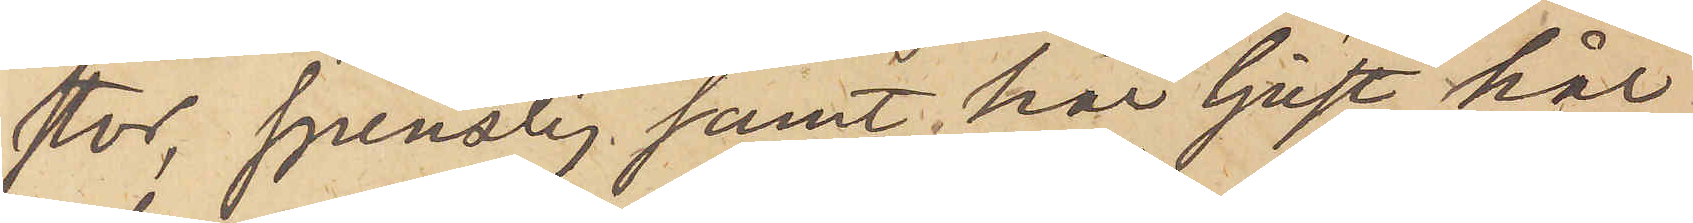stor, spenslig samt har ljust hår
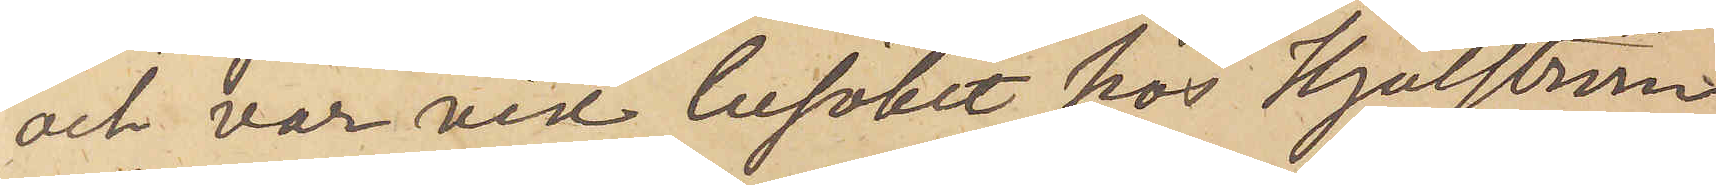och var vid besöket hos Hjulström
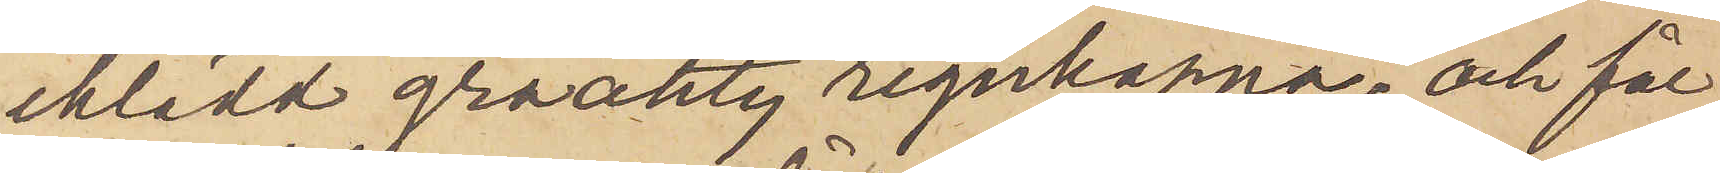iklädd gråaktig regnkappa; och får
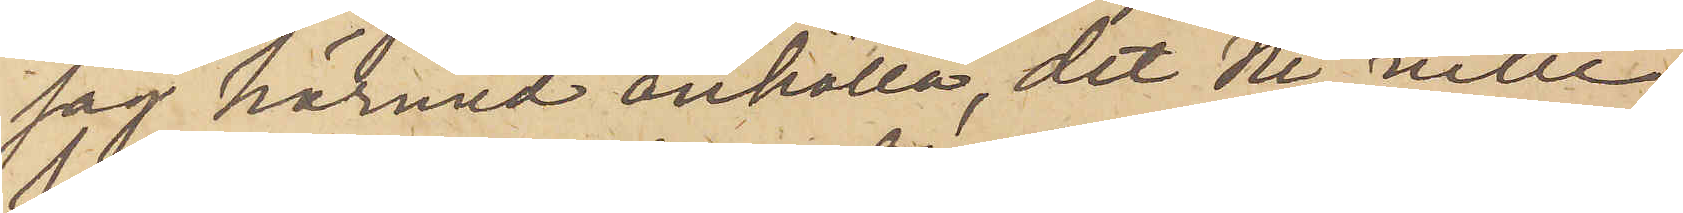jag härmed anhålla, det Ni ville
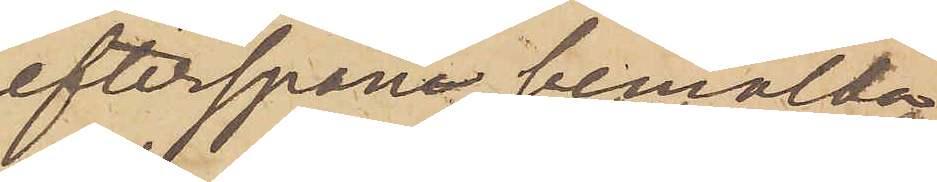efterspana bemälde
